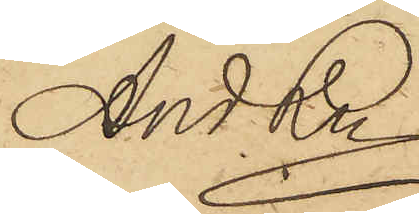And. Ln
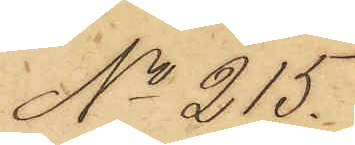No 215.
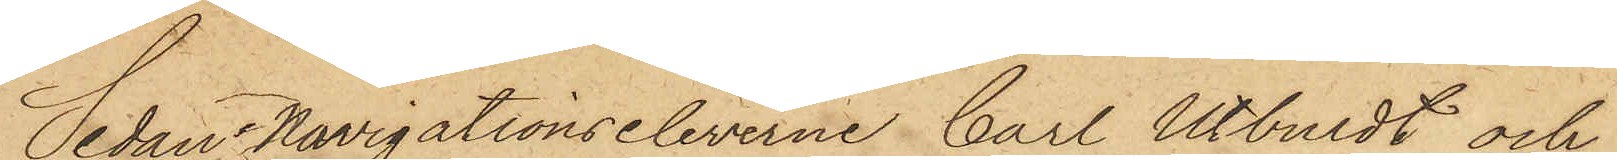Sedan Navigationseleverne Carl Utbuldt och
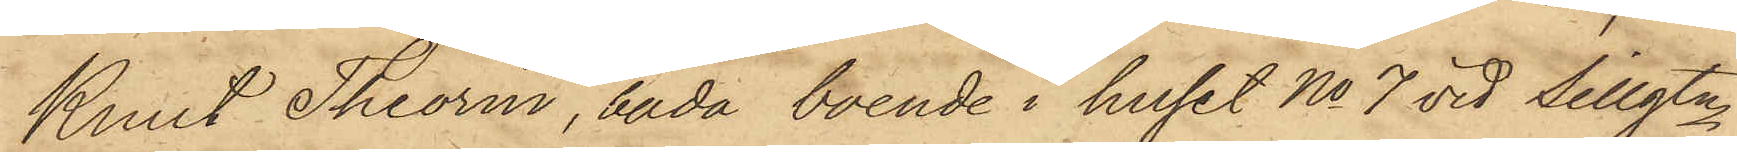Knut Theorin, båda boende i huset No 7 vid Sillgtn
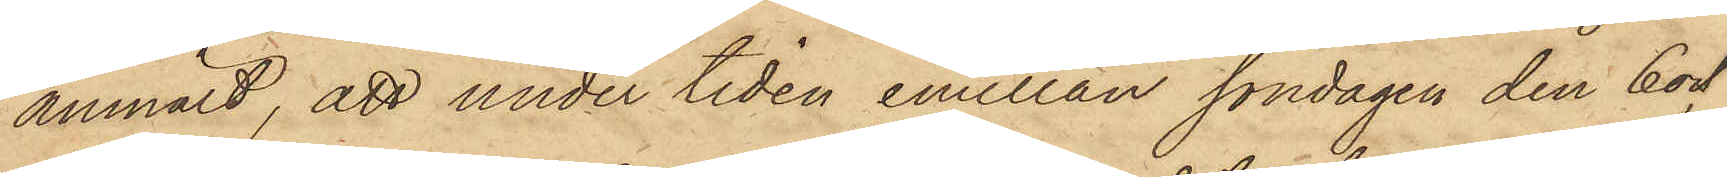anmält, att under tiden emellan söndagen den 6 och
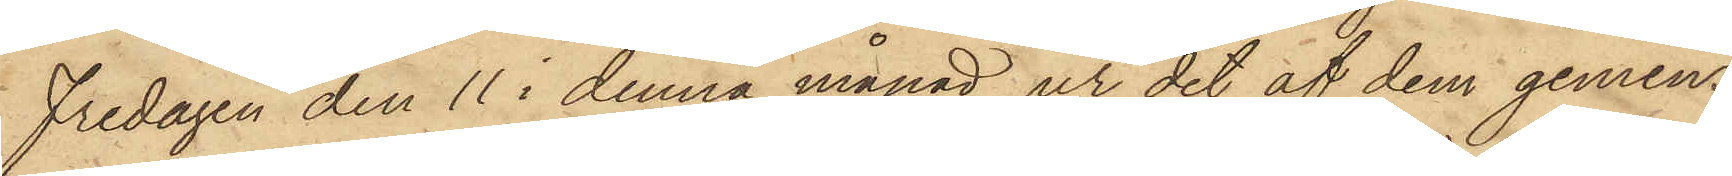Fredagen den 11 i denna månad ur det af dem gemen¬
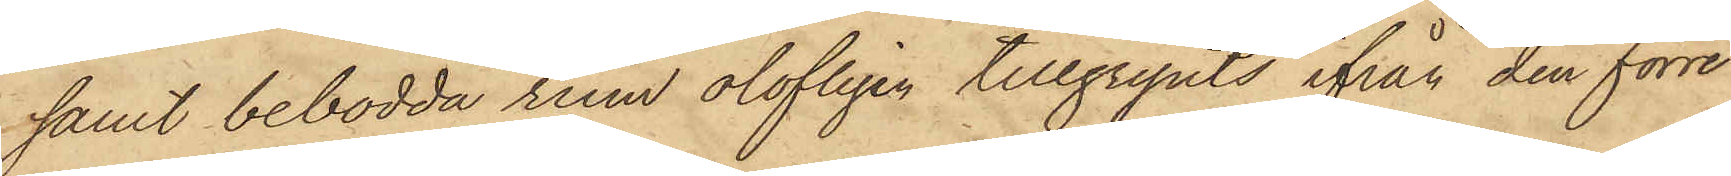samt bebodda rum olofligen tillgripits ifrån den förre
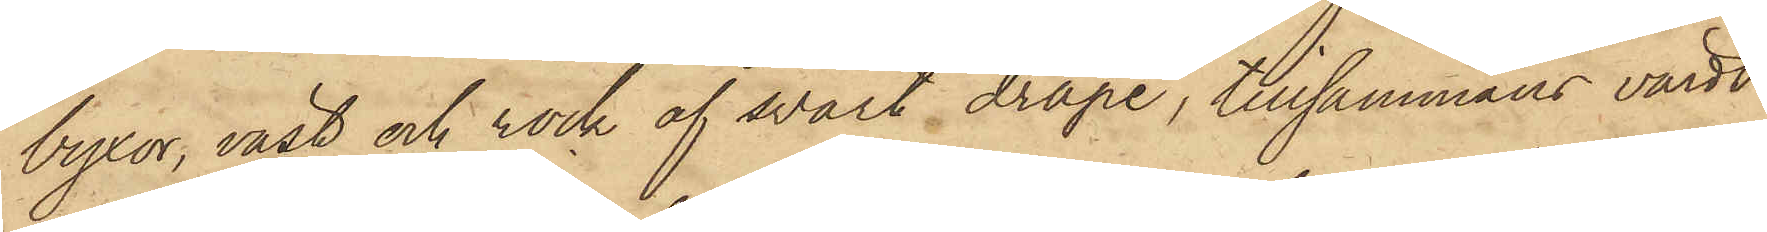byxor, väst och rock af svart drape, tillsammans värdt
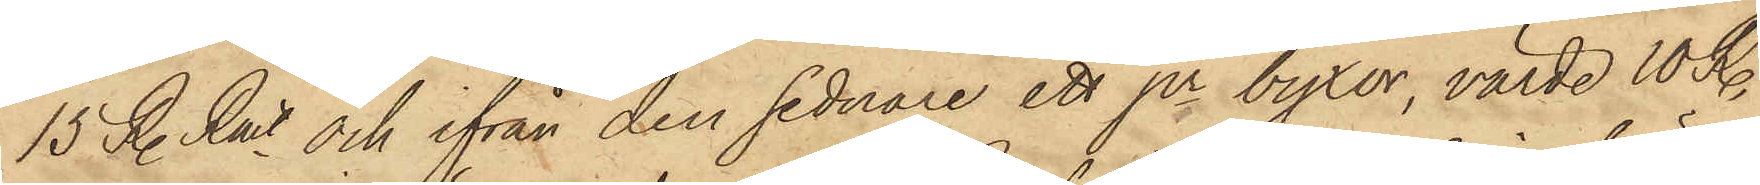15 R. Rmt och ifrån den sednare ett pr byxor, värde 10 R.
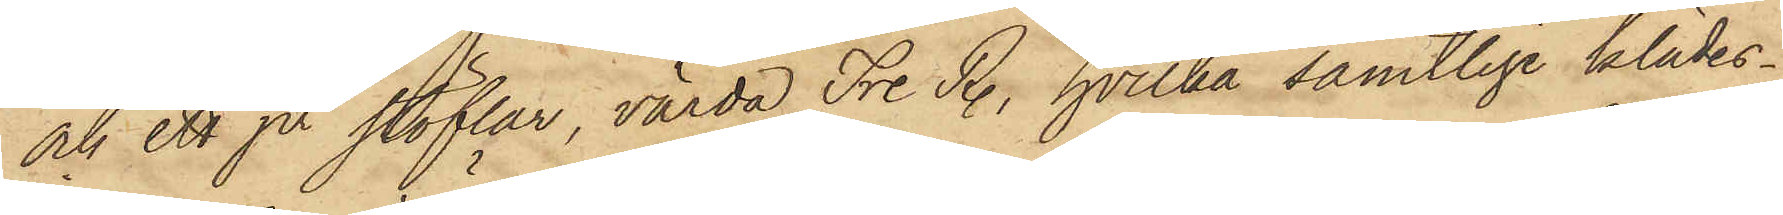och ett pr stöflar, värda Tre R., hvilka samtlige klädes¬
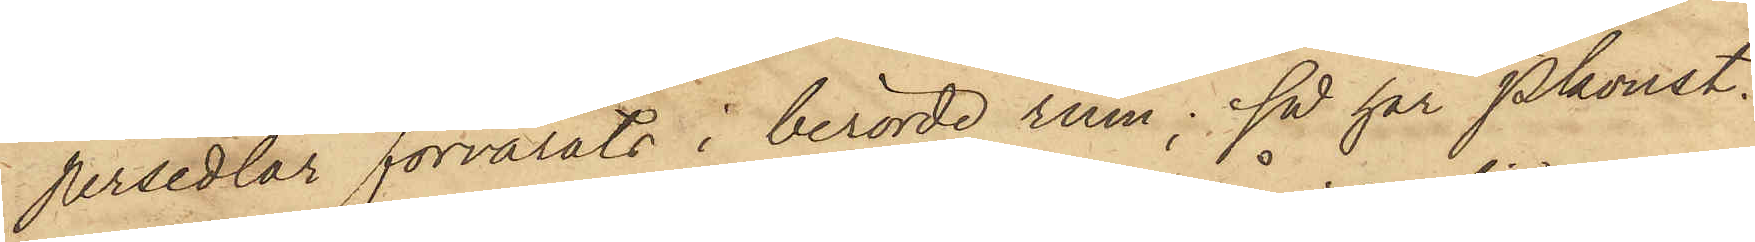persedlar förvarats i berörde rum; så har Pkonst.
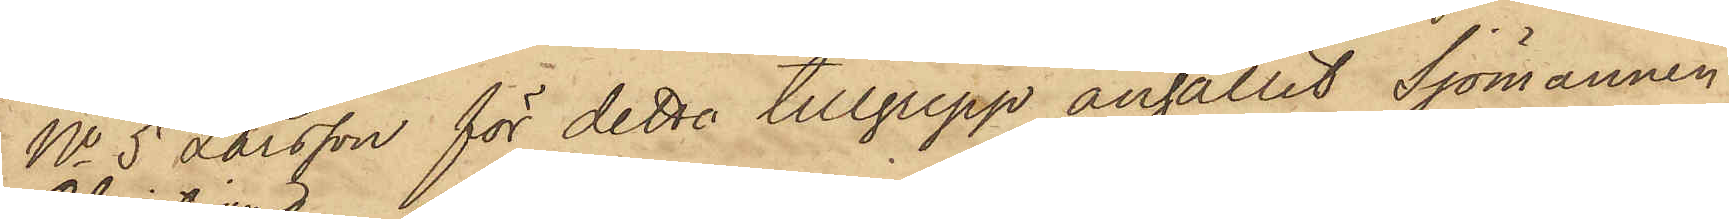No 5 Larsson för detta tillgrepp anhållit Sjömannen
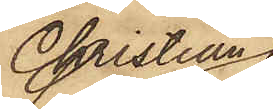Christian
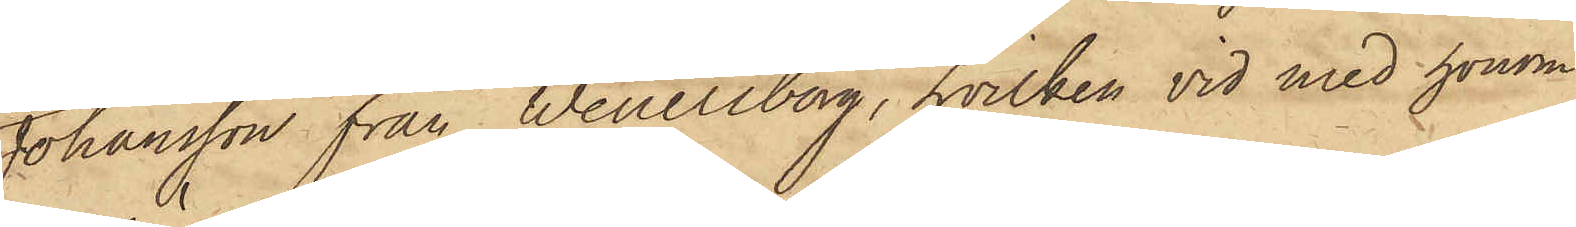Johansson från Wenersborg, hvilken vid med honom
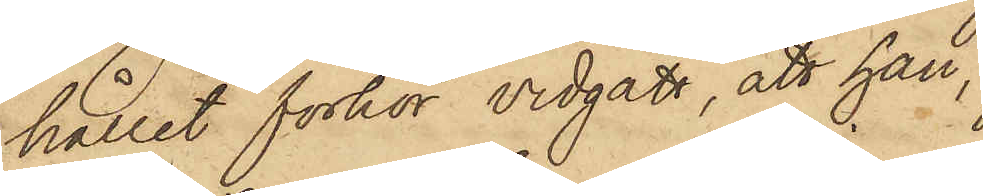hållit förhör vidgått, att han,
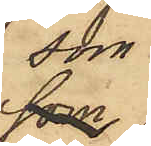som
